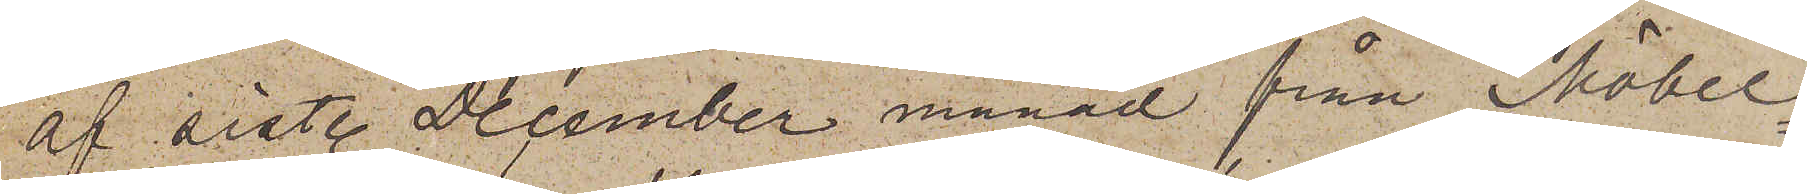af sistl. December månad från Möbel¬
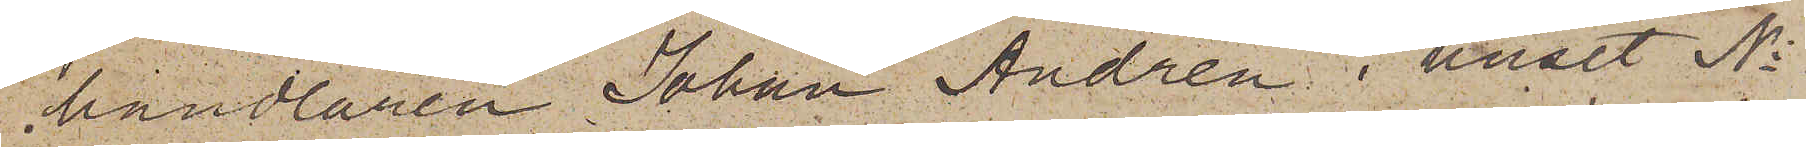handlaren Johan Andrén i huset No
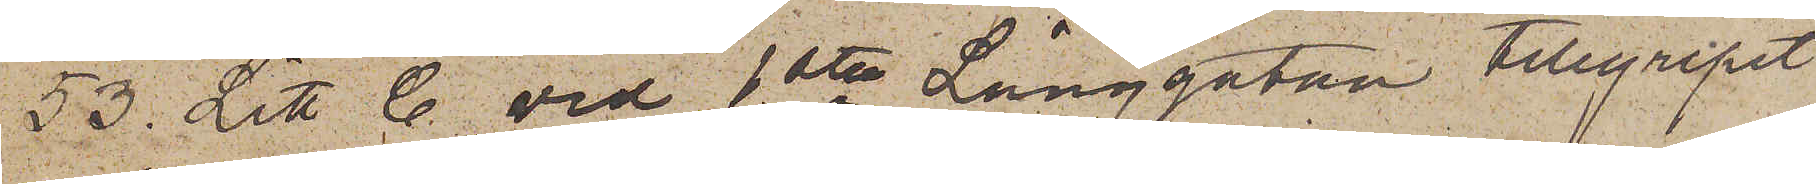53 Litt. C. vid 1sta Långgatan tillgripit
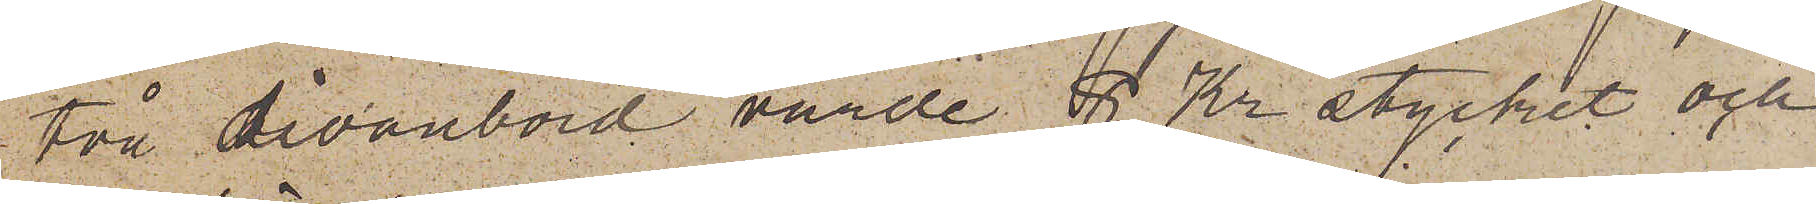två divanbord värde 8 Kr stycket och
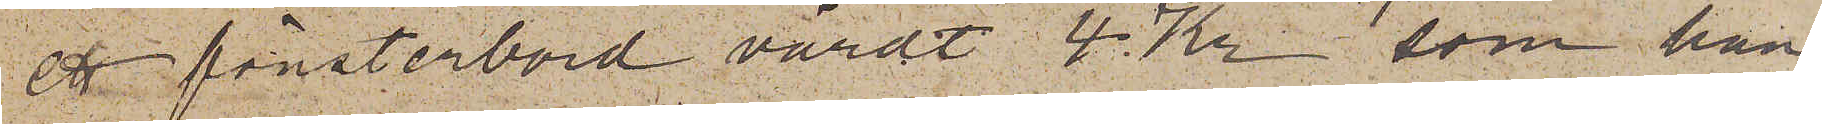ett fönsterbord värdt 4 Kr som han
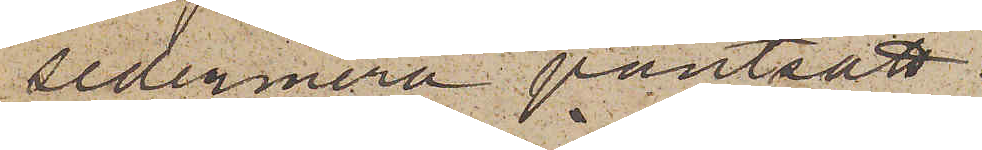sedermera pantsatt.
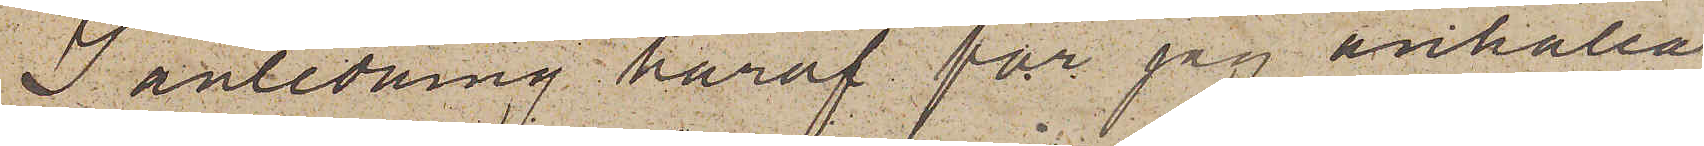I anledning häraf får jag anhålla,
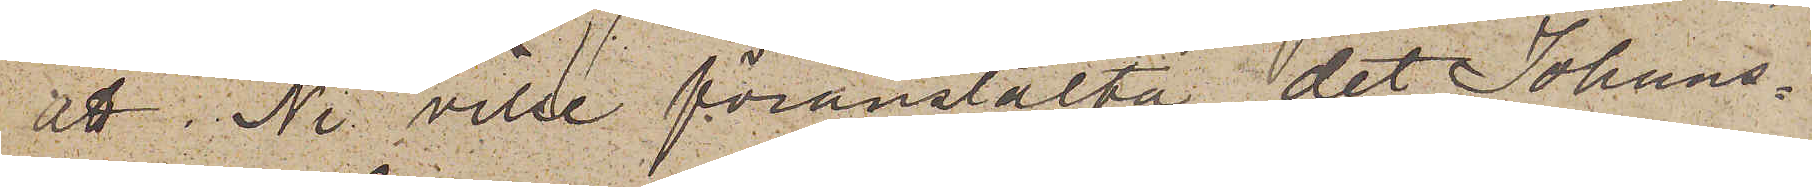att Ni ville föranstalta, det Johans¬
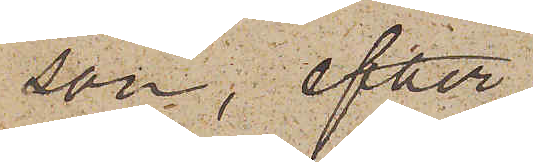son, efter
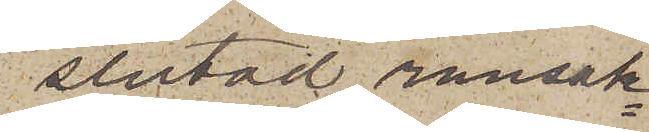slutad ransak¬
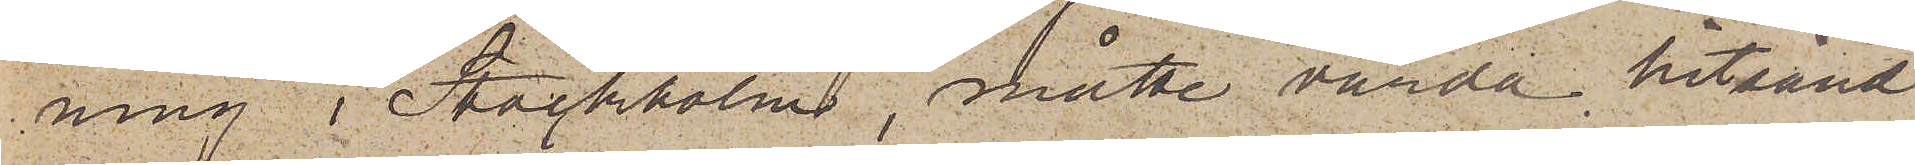ning i Stockholm, måtte varda hitsänd
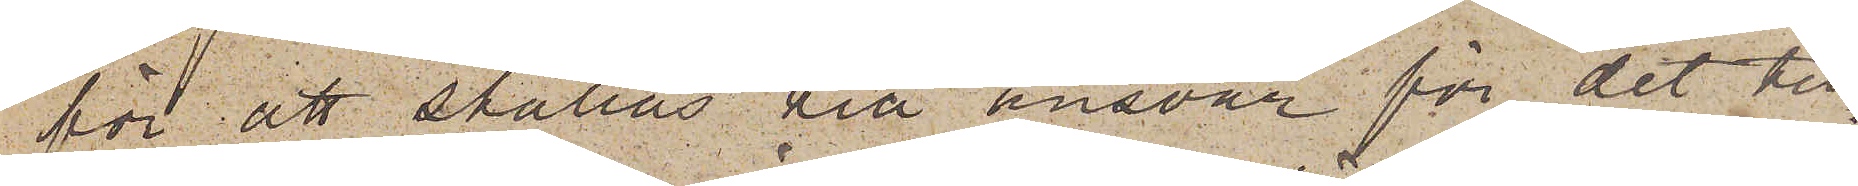för att ställas till ansvar för det till¬
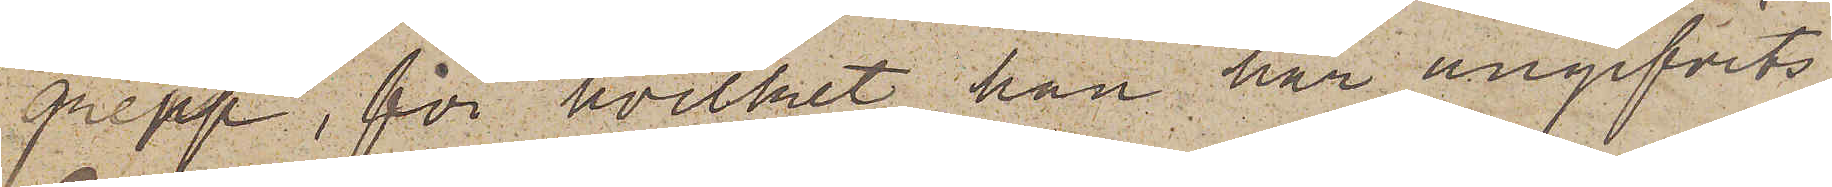grepp, för hvilket han har angifvits.
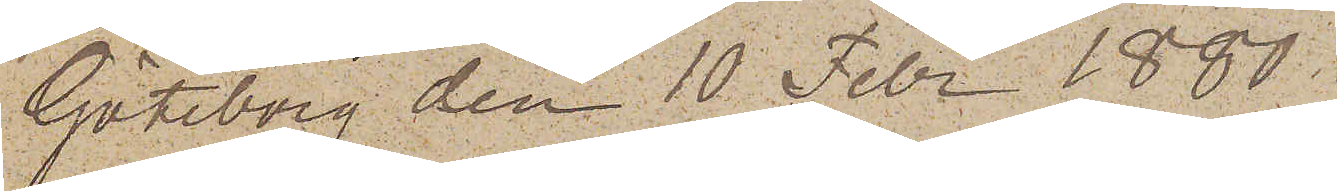Göteborg den 10 Febr 1880.
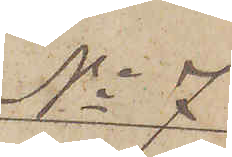No 7
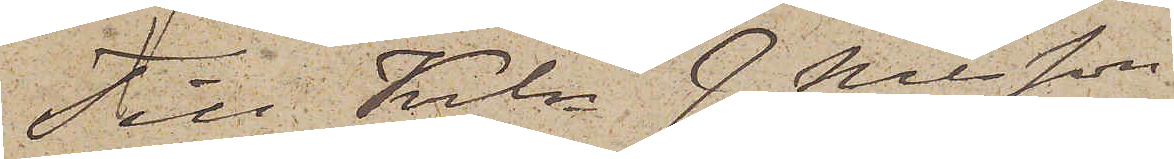Till Krln J. Nilsson,
